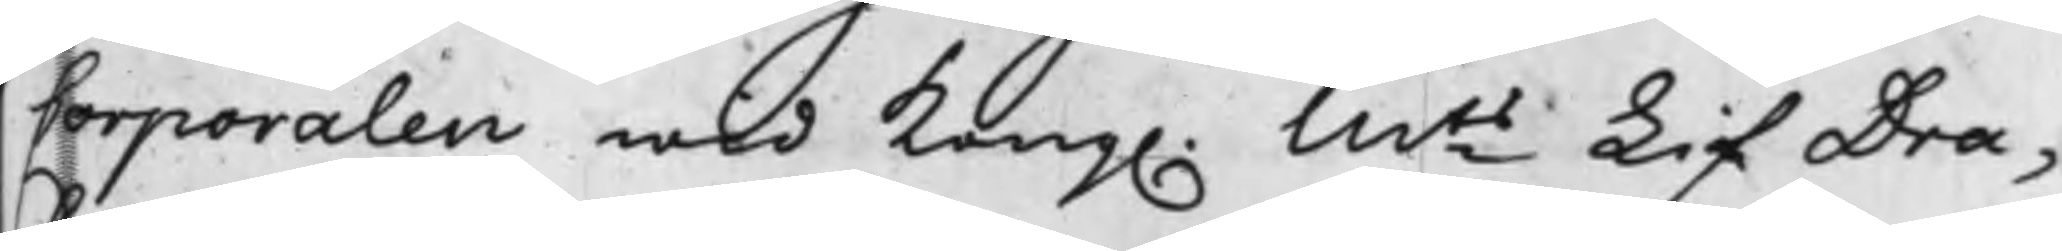Corporalen wid Kong. Mts LifDra¬
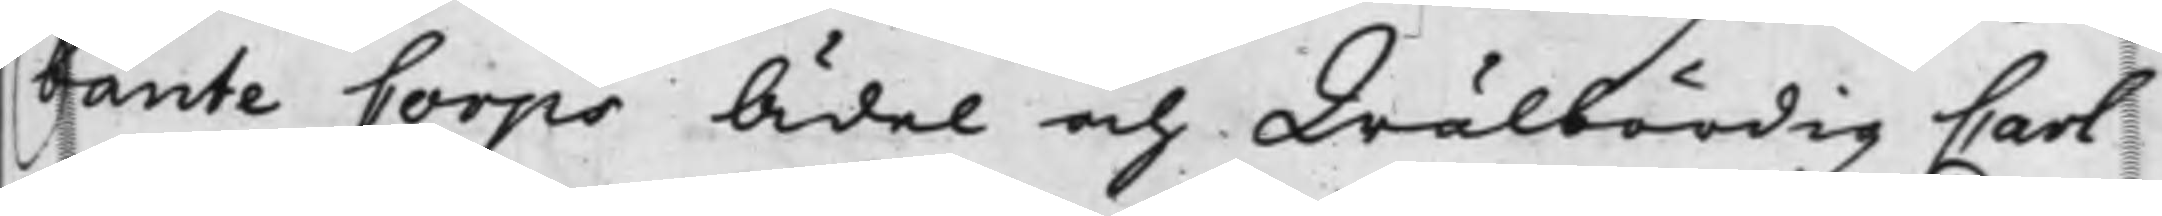bante Corps Ädel och Wälbördig Carl
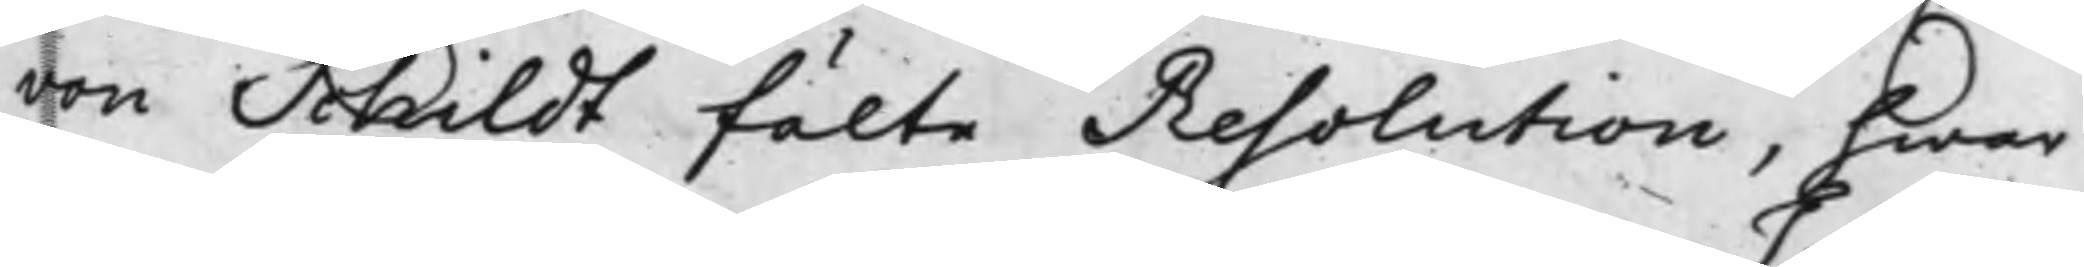von Schildt fälte Resolution, hwar
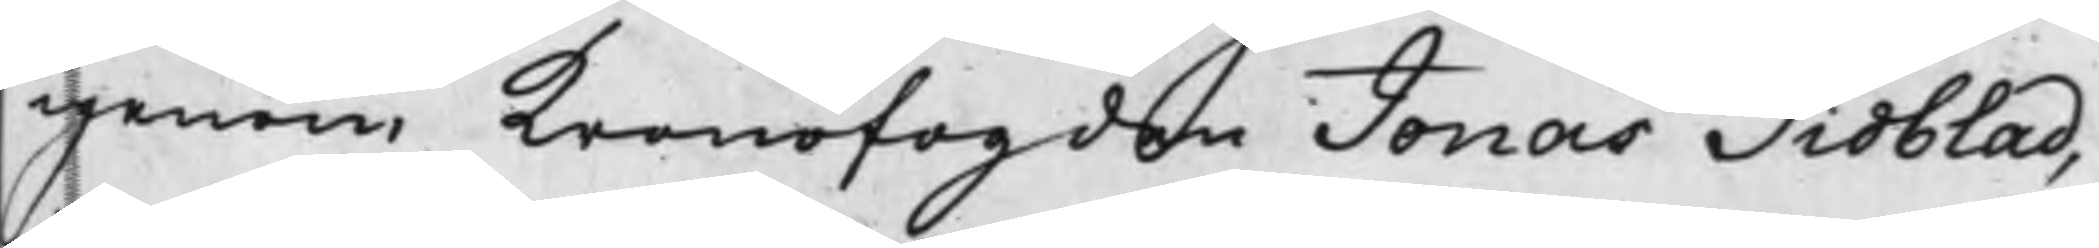igenom Kronofogden Jonas Tidblad,
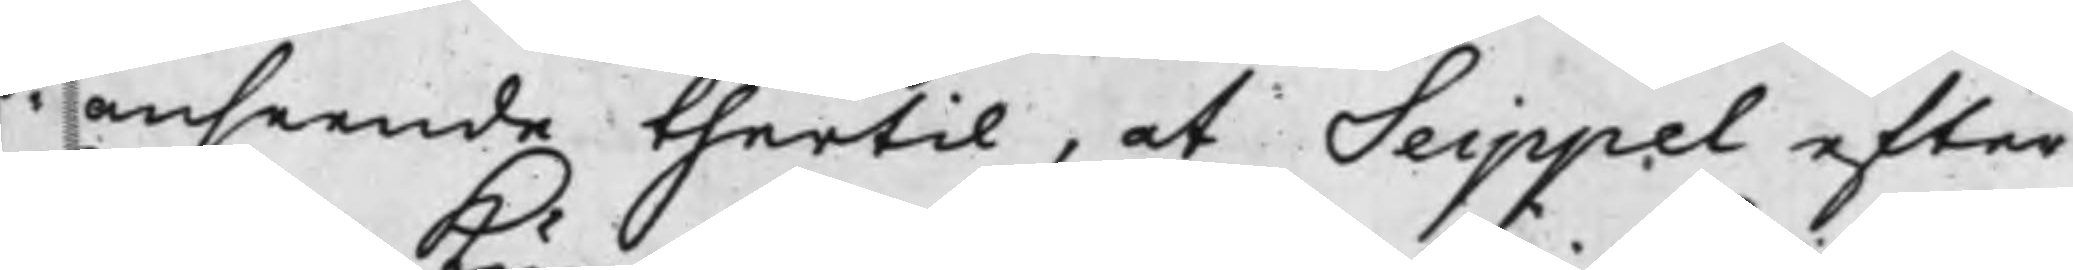i anseende thertil, at Seippel efter
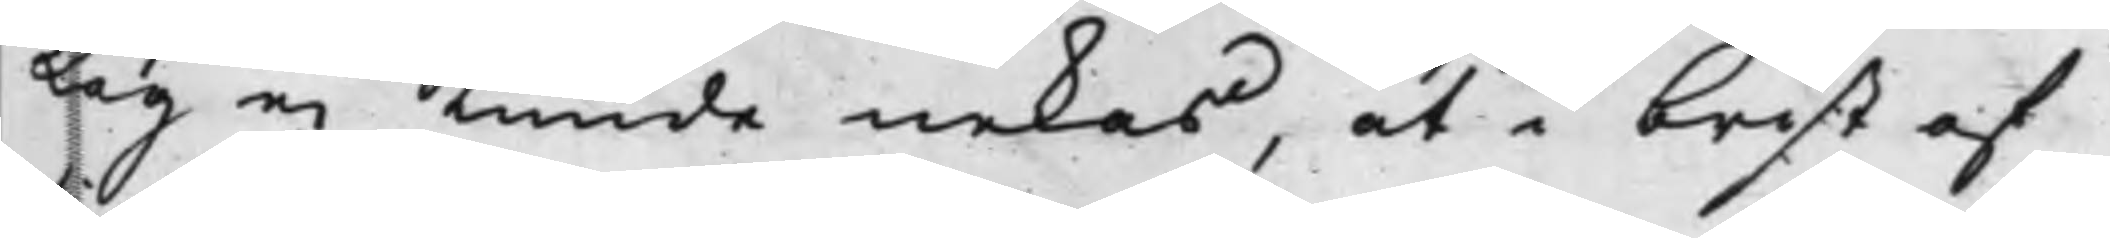Lag ei kunde nekas, at i brist af
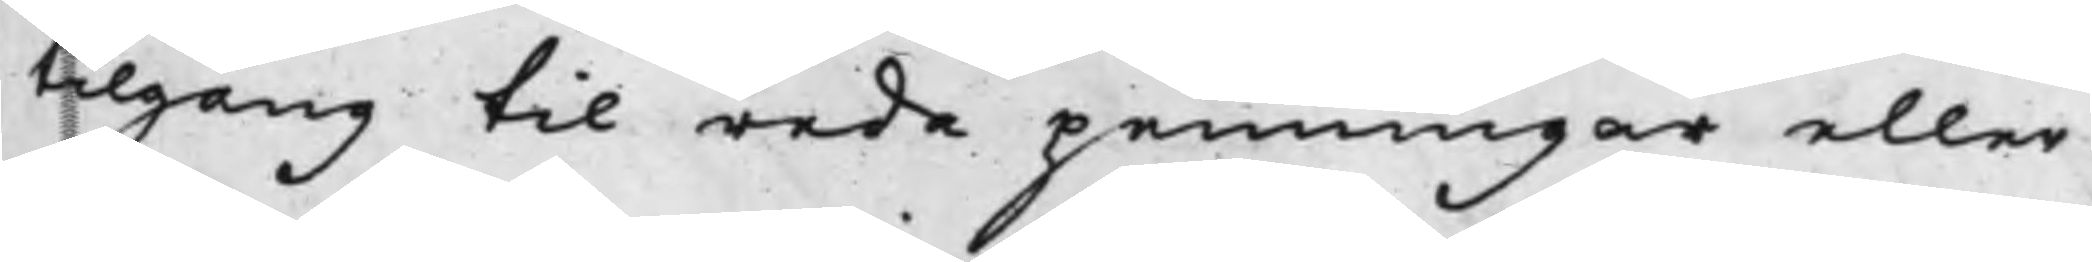tilgång til reda penningar eller
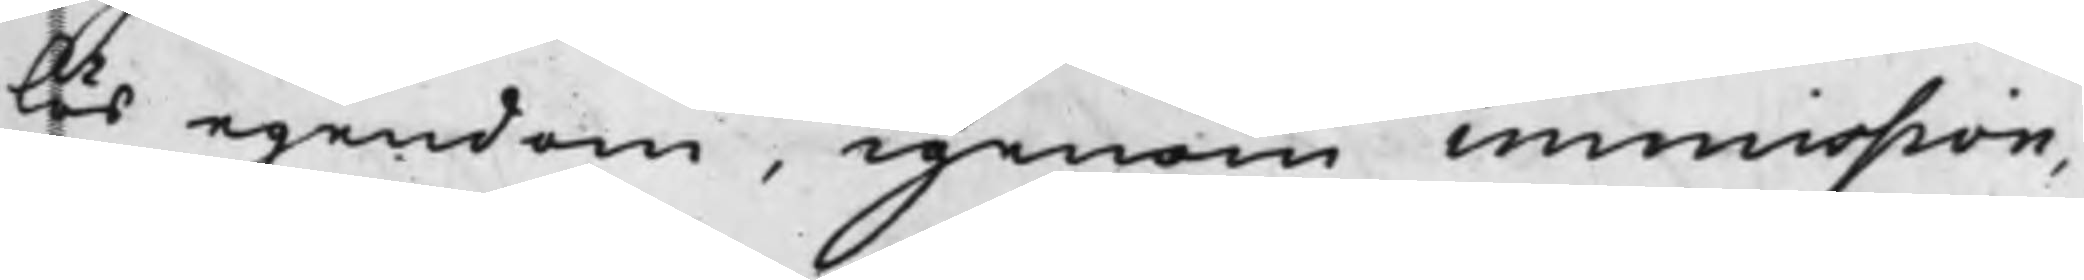lös egendom, igenom immission,
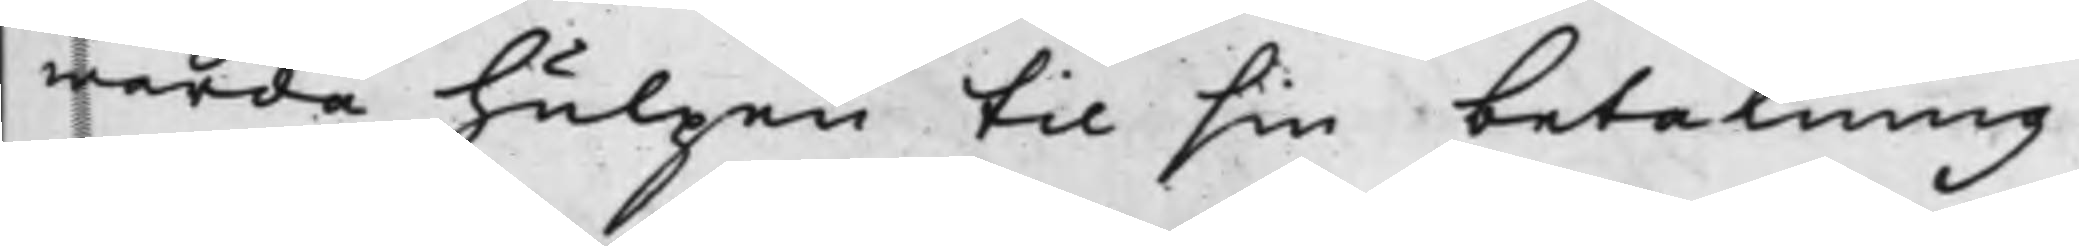warda hulpen til sin betalning
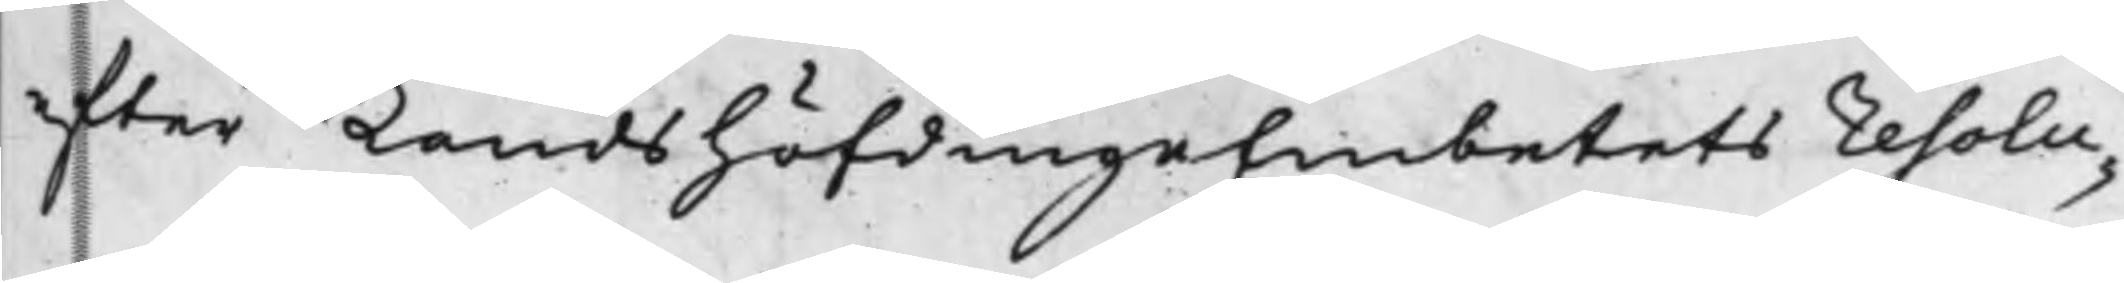efter LandshöfdingeEmbetets Resolu¬
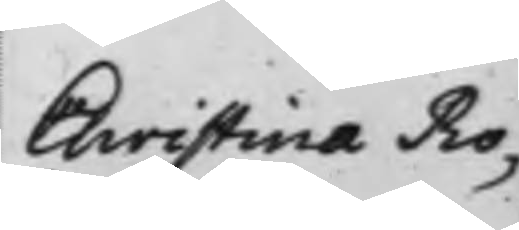Christina Ro¬
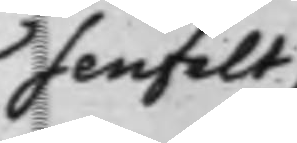senfelt,
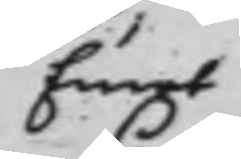Emot
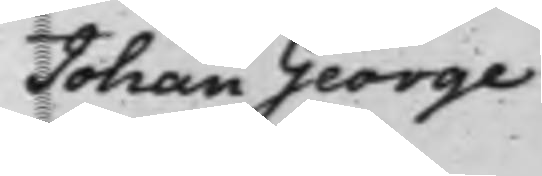Johan George
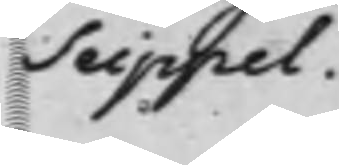Seippel.
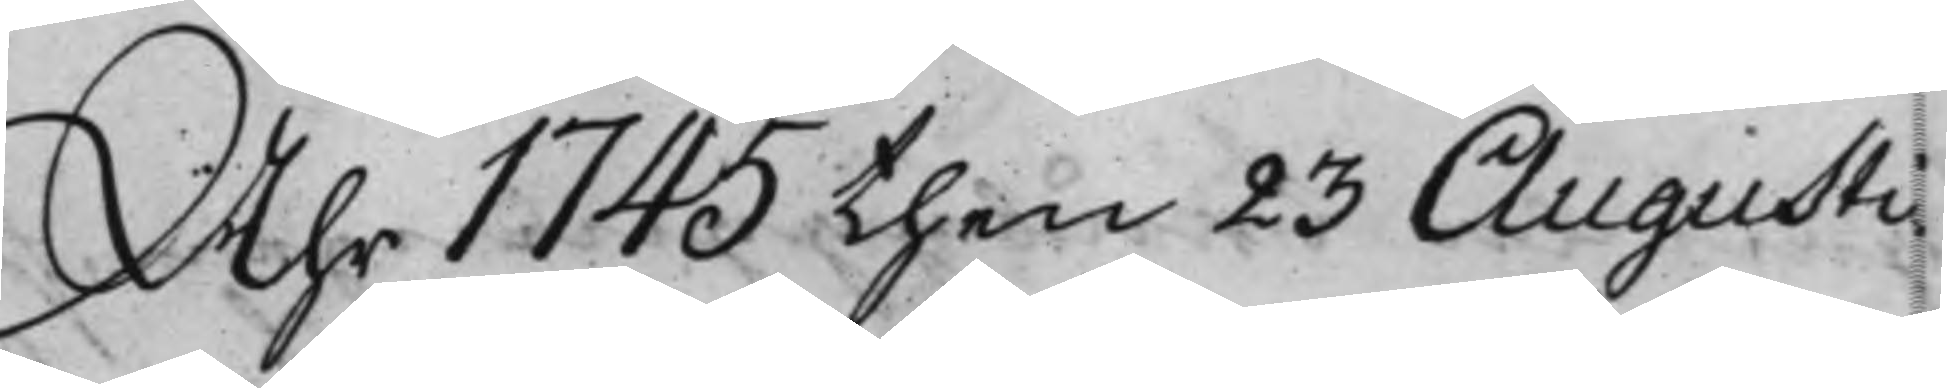Åhr 1745 then 23 Augusti
